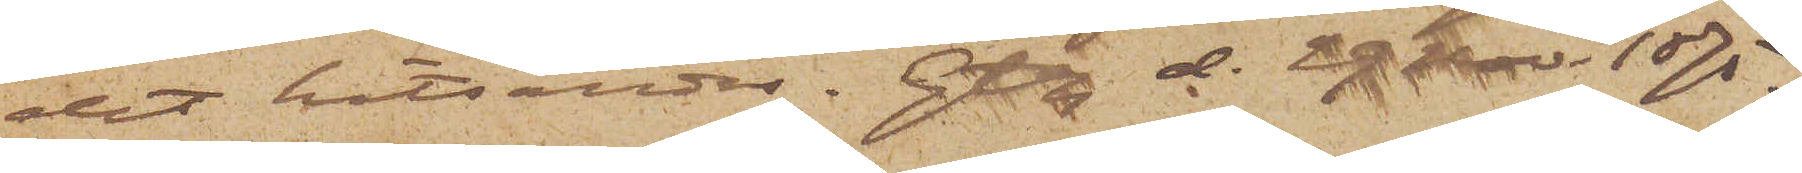det hitsändas. Gtbg d. 29 Nov. 1875.
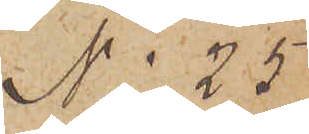No 25
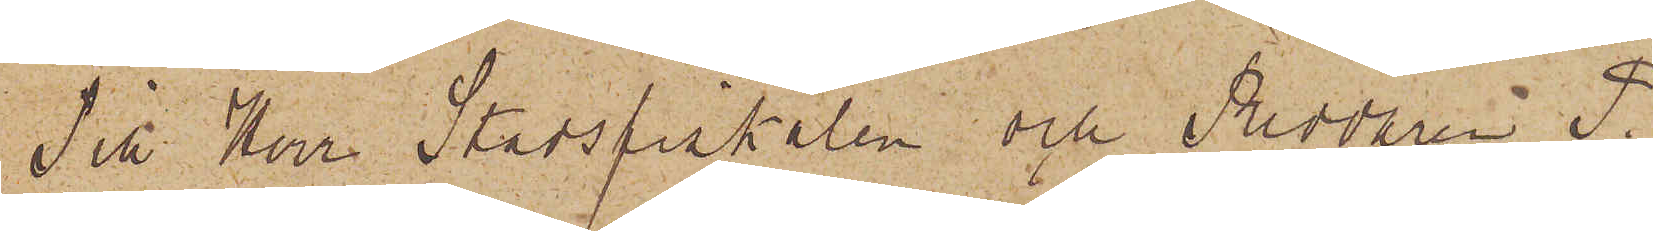Till Herr Stadsfiskalen och Riddaren P.
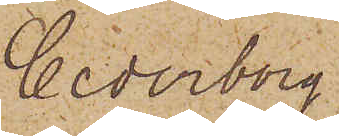Cederborg
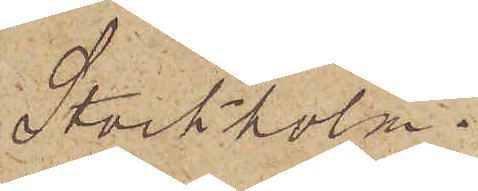Stockholm.
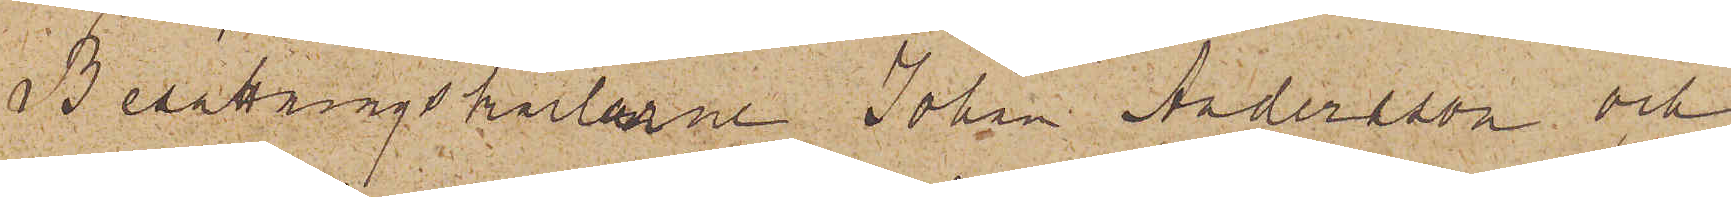Besättningskarlarne Johan Andersson och
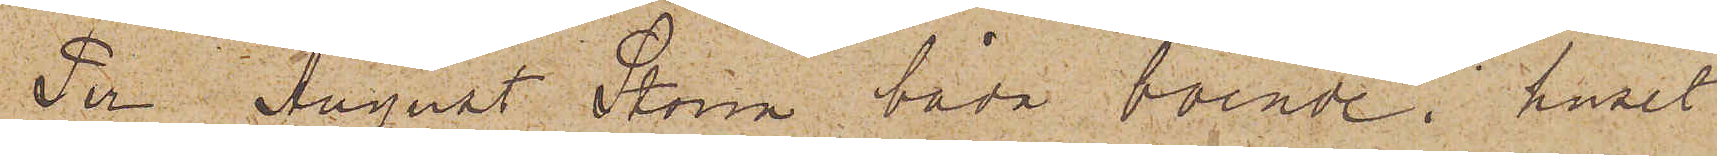Per August Storm båda boende i huset
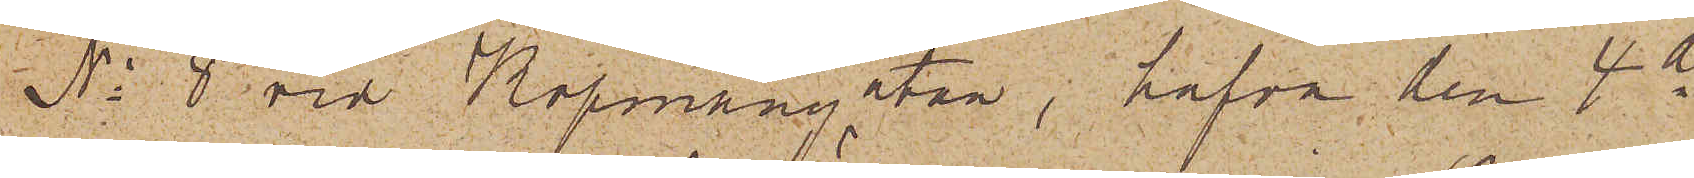No 8 vid Köpmangatan, hafva den 4 ds
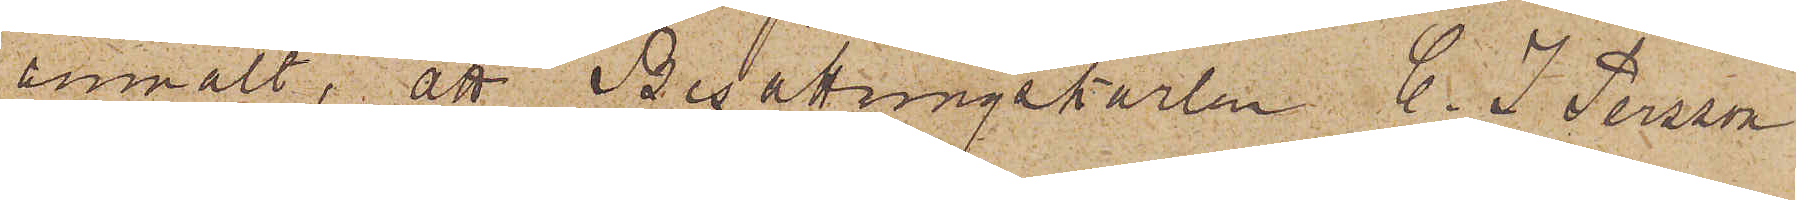anmält, att Besättningskarlen C. J. Persson
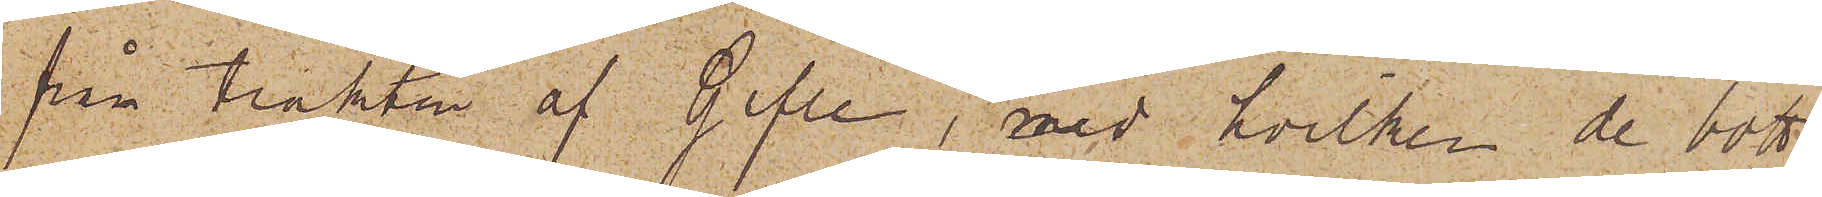från trakten af Gefle, med hvilken de bott
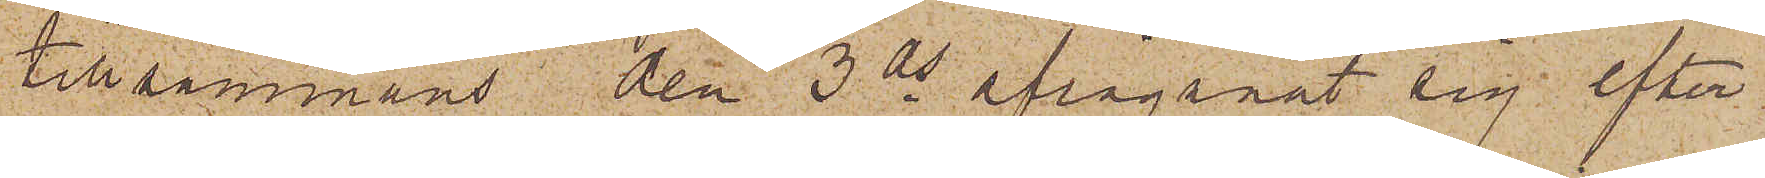tillsammans den 3 ds aflägsnat sig efter
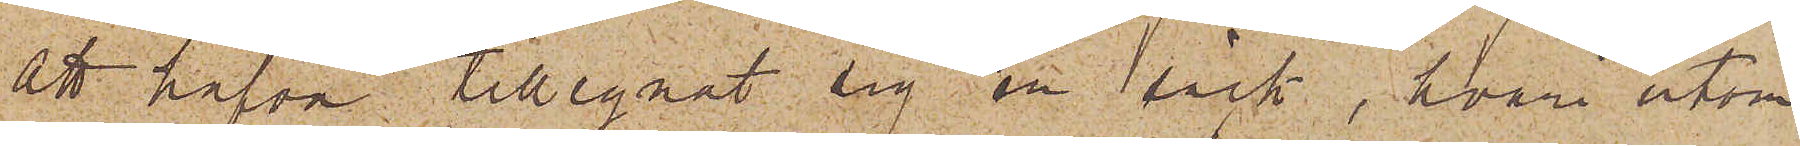att hafva tillegnat sig en säck, hvari utom
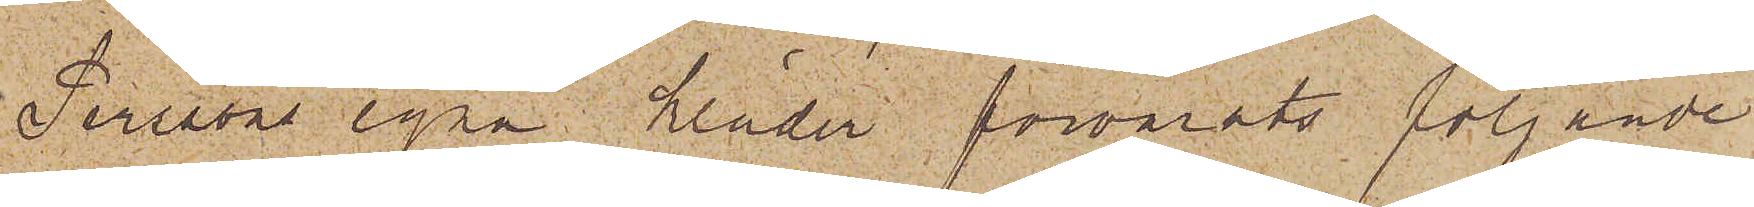Perssons egna kläder förvarats följande
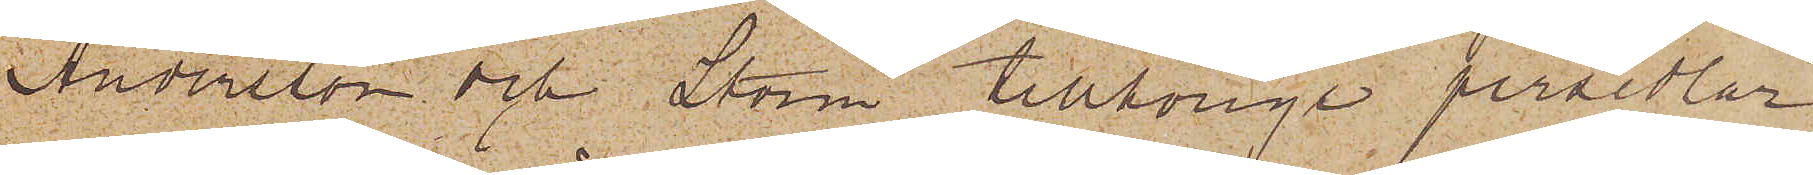Andersson och Storm tillhörige persedlar
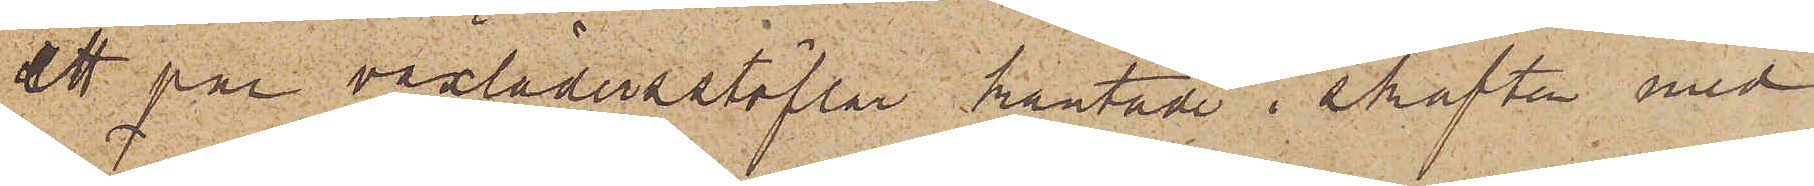ett par vaxläderstöflar kantade i skaften med
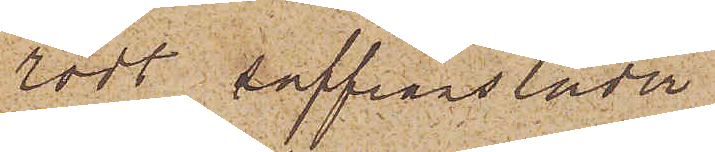rödt saffiansläder
